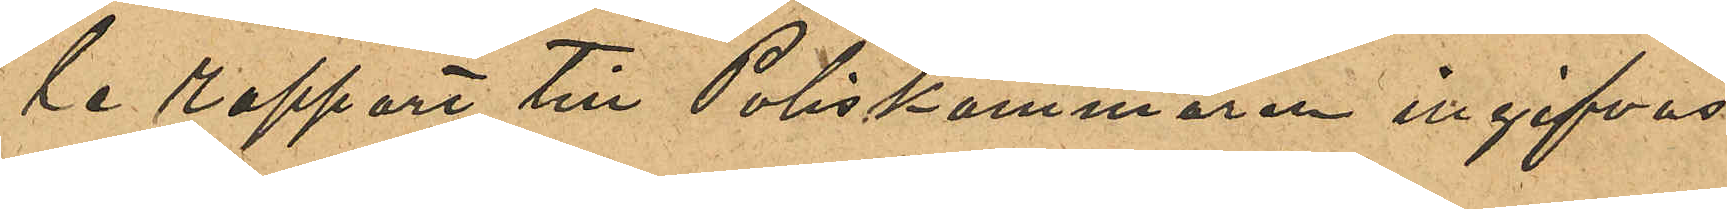le rapport till Poliskammaren ingifvas.
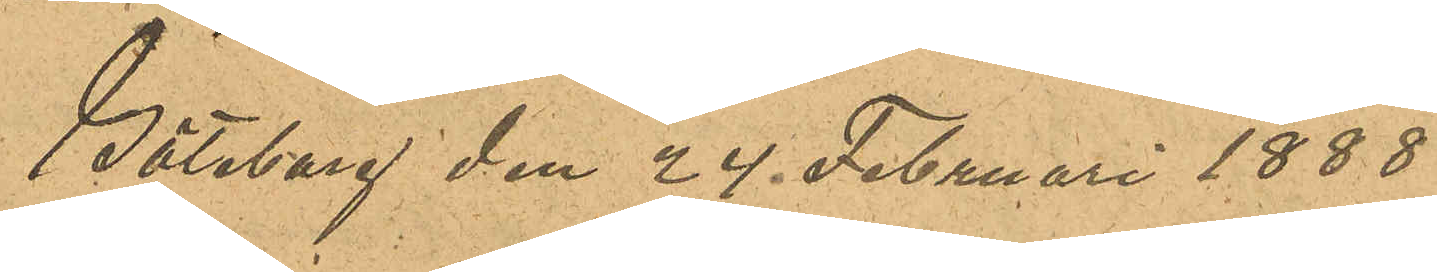Göteborg den 24 Januari 1888.
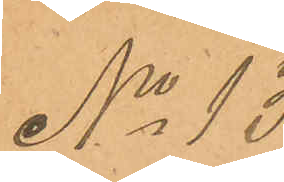No 13
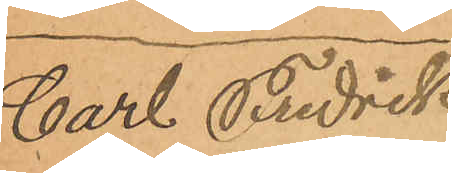Carl Fredrick
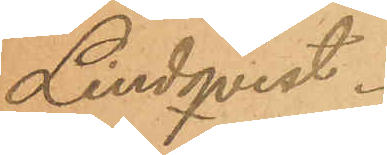Lindqvist.
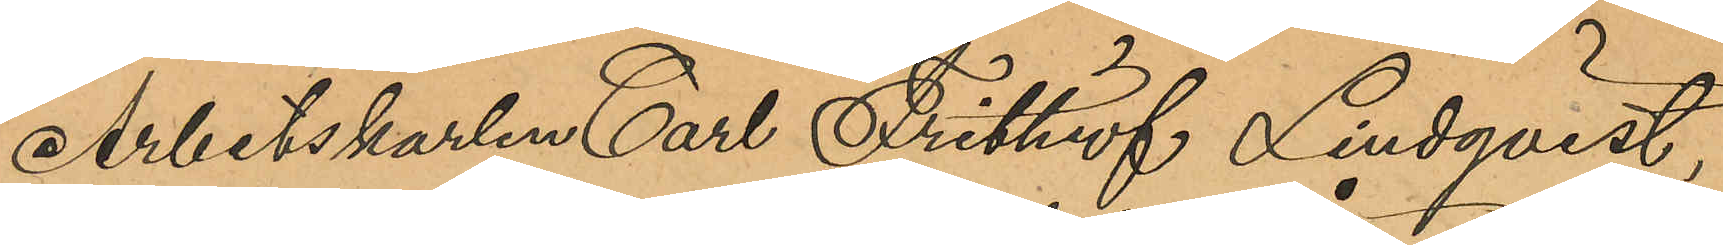Arbetskarlen Carl Frithiof Lindqvist,
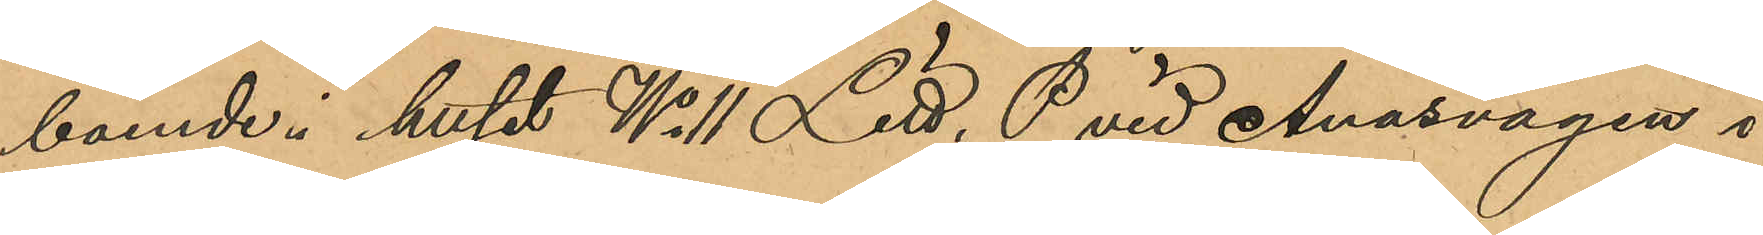boende i huset No 11 Litt. P vid Ånäsvägen i
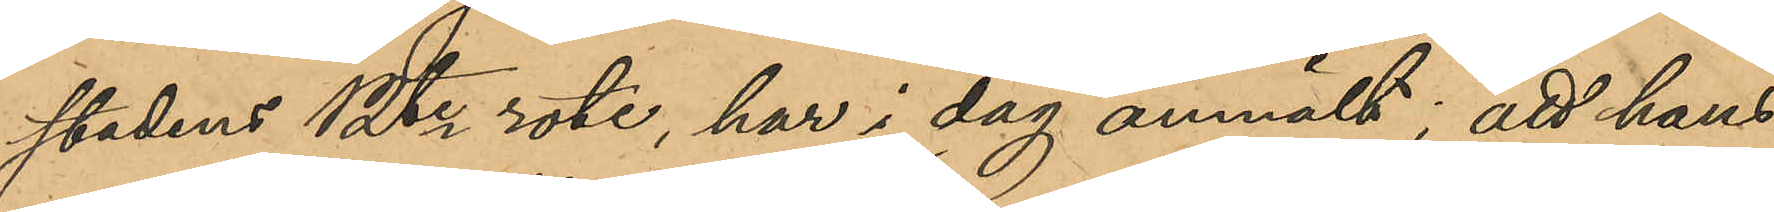stadens 12te rote, har i dag anmält; att hans
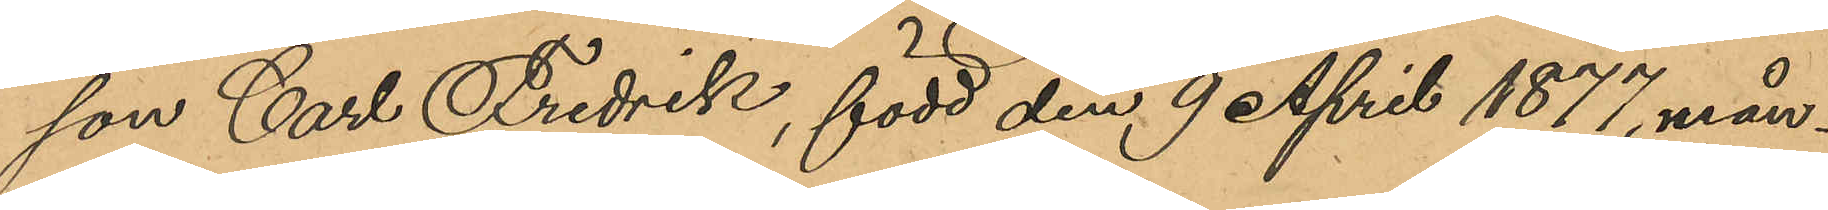son Carl Fredrik, född den 9 April 1877, mån¬
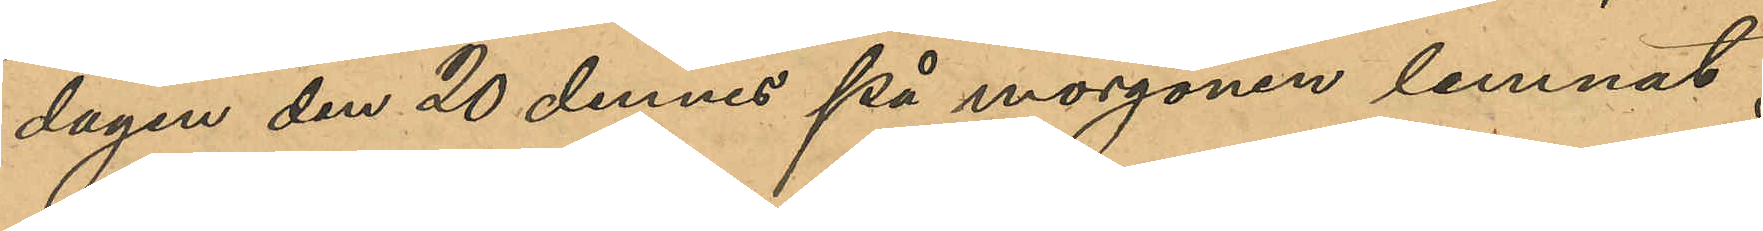dagen den 20 dennes på morgonen lemnat
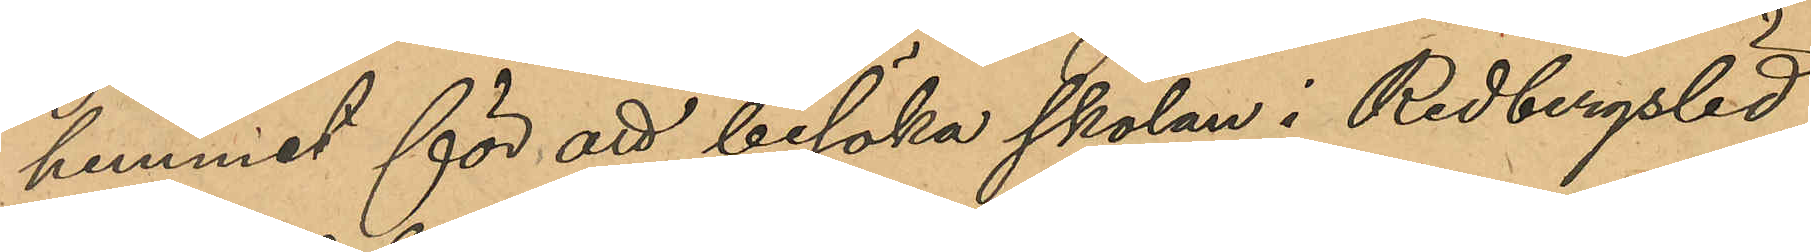hemmet för att besöka skolan i Redbergslid,
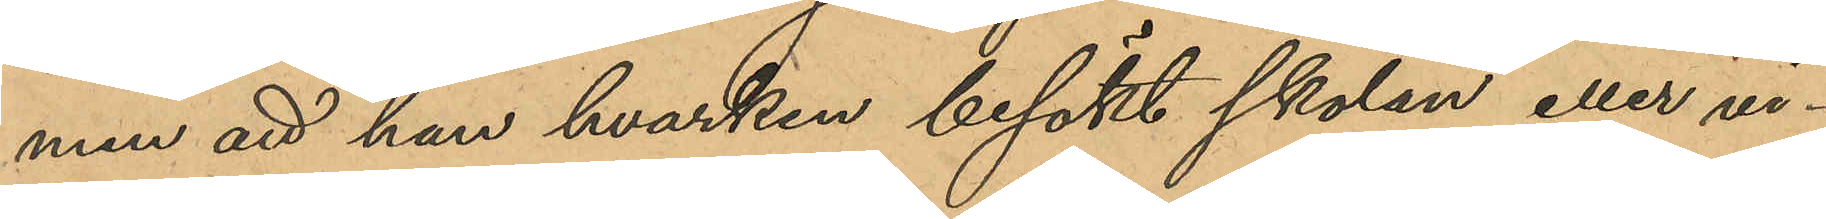men att han hvarken besökt skolan eller vi¬
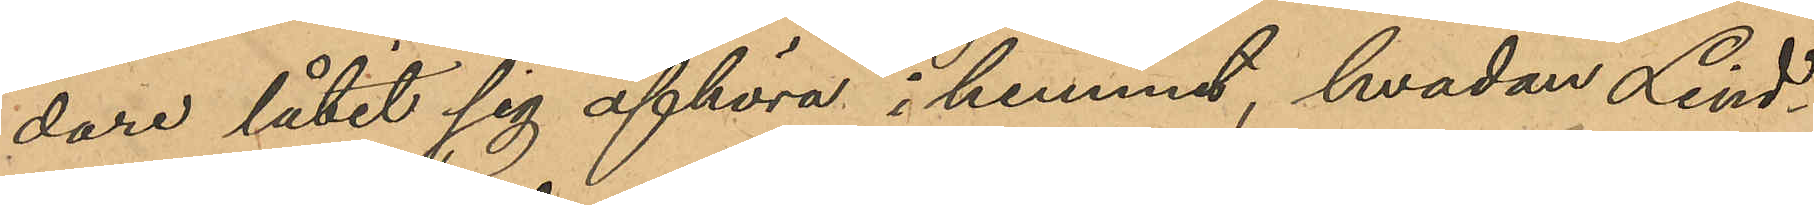dare låtit sig afhöra i hemmet, hvadan Lind¬
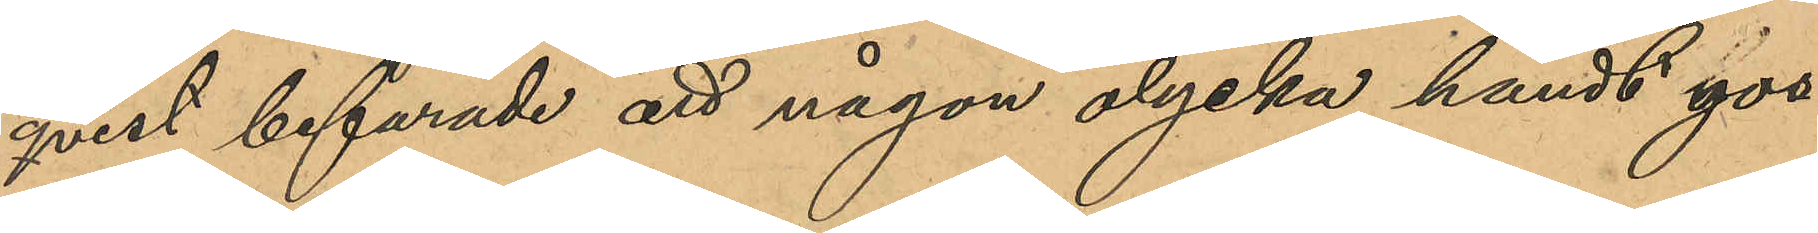qvist befarade att någon olycka händt gos¬
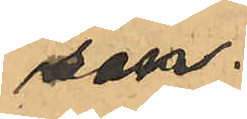sen.
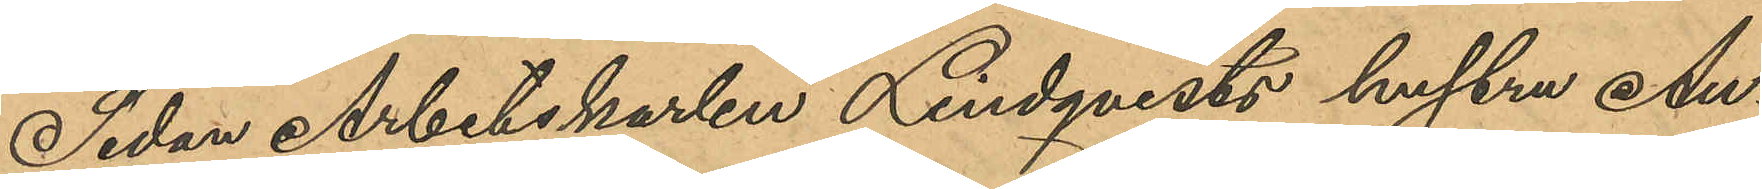Sedan Arbetskarlen Lindqvists hustru Au¬
